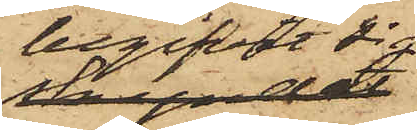begifvit sig
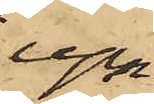upp
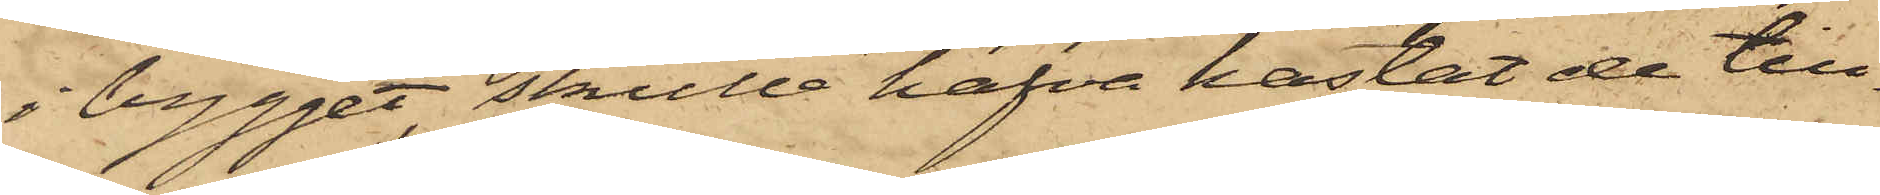i bygget, skulle hafva kastat de till¬
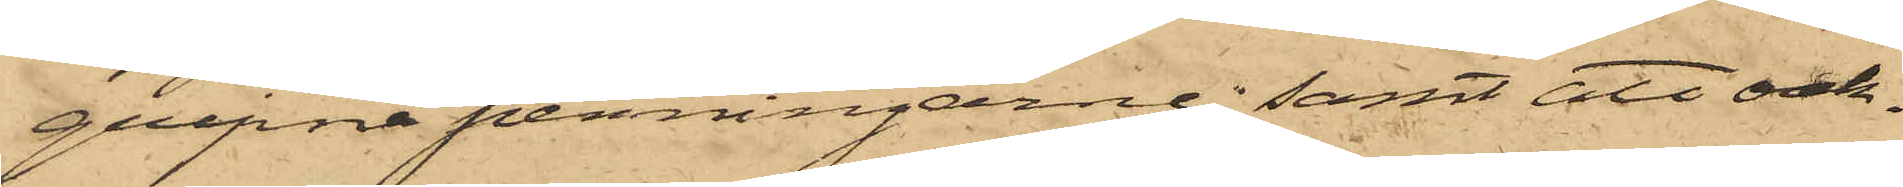gripna penningarne; samt att oak¬
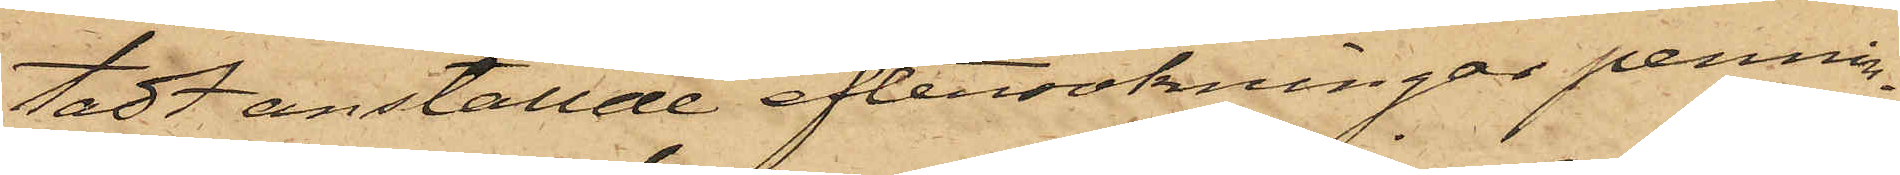tadt anställde eftersökningar pennin¬
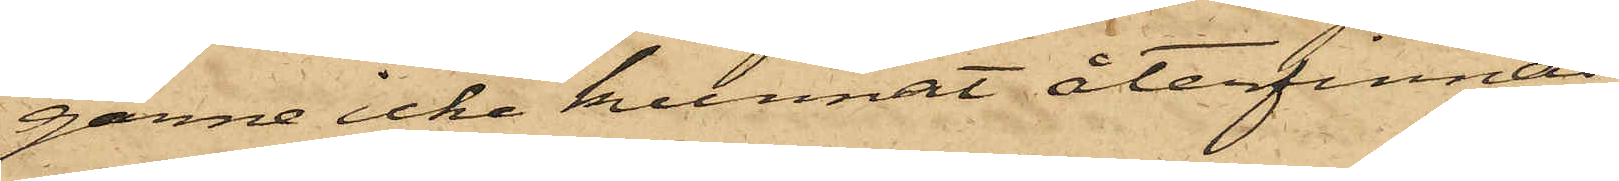garne icke kunnat återfinnas.
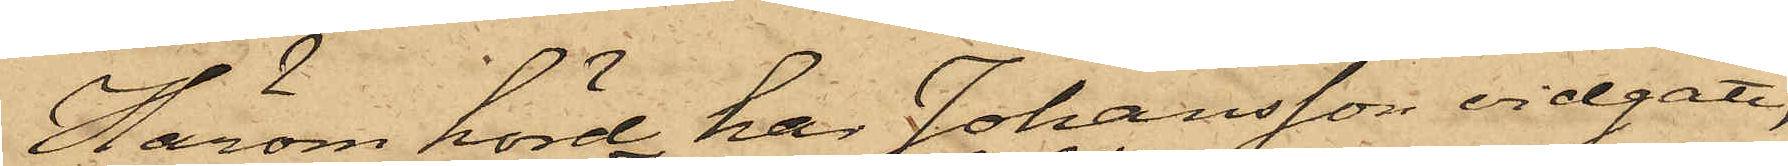Härom hörd har Johansson vidgått,
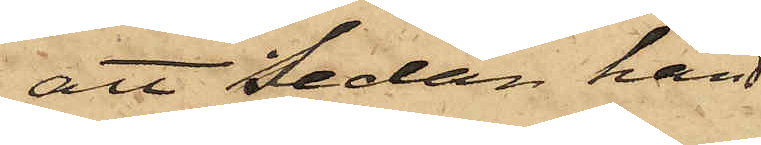att sedan han
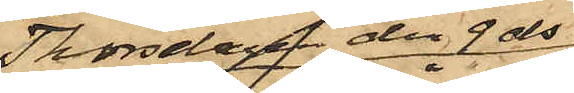Thorsdagen den 9 ds
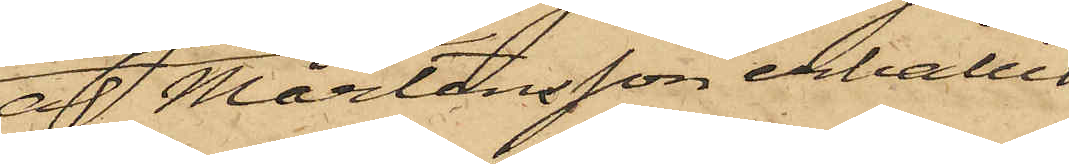af Mårtensson erhållit
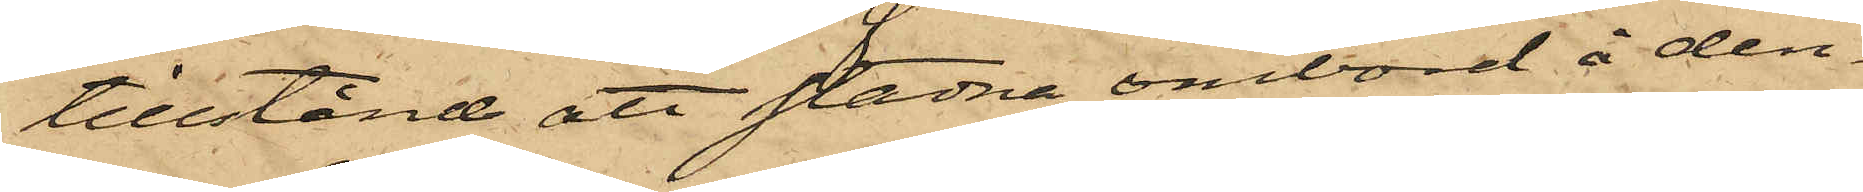tillstånd att stadna ombord å den¬
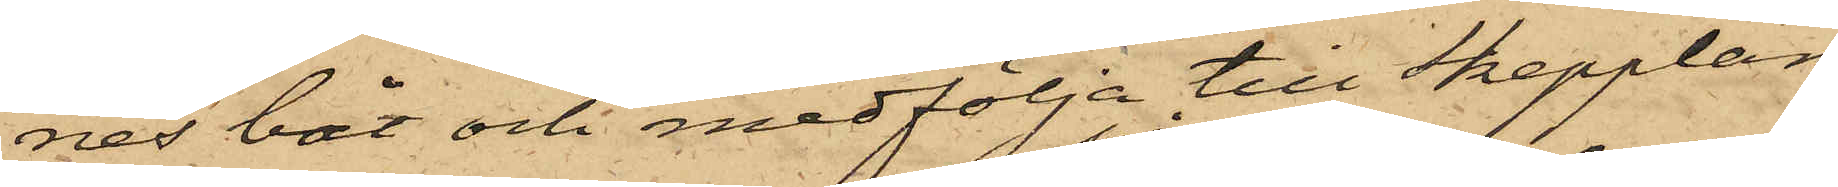nes båt och medfölja till Skepplan¬
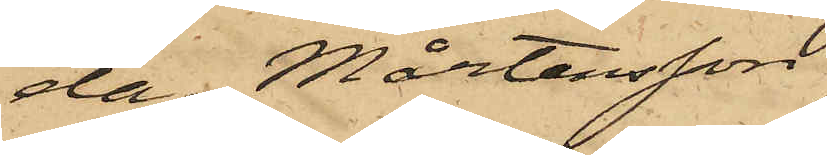da, Mårtensson
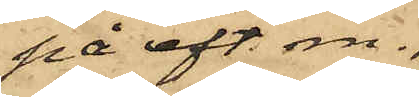på eft. m.
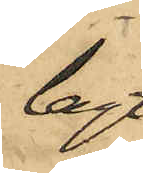lagt
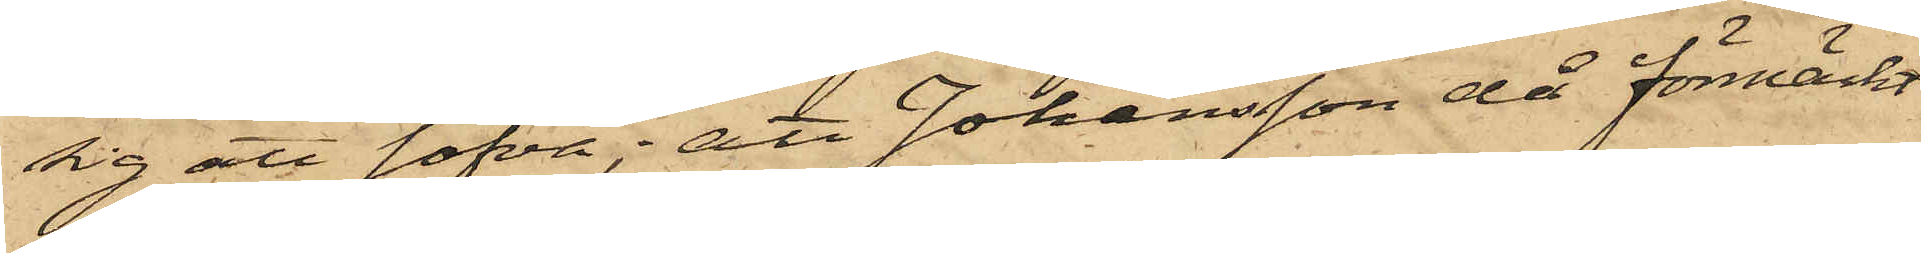sig att sofva; att Johansson då förmärkt
